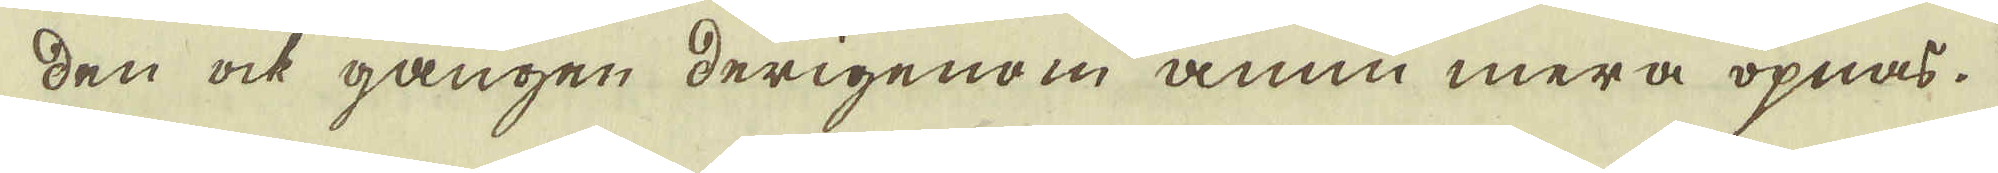den ock gången derigenom ännu mera öpnas.
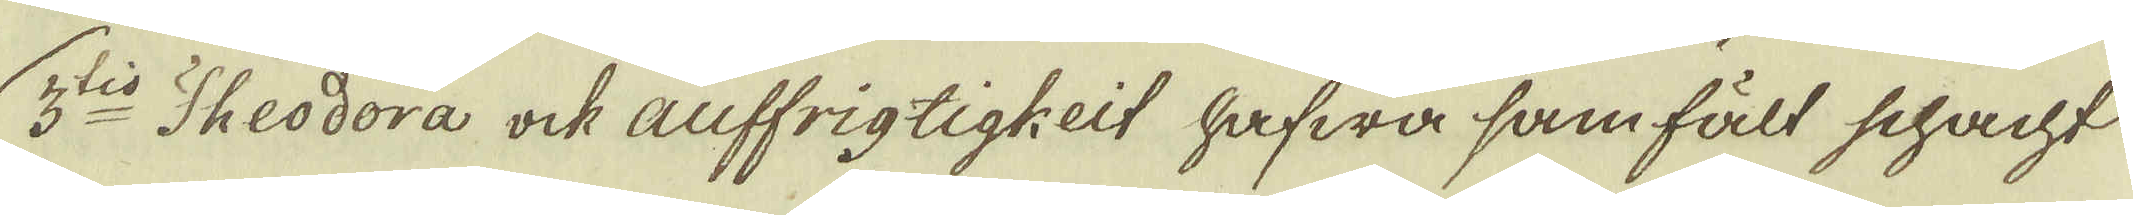3:tio Theodora ock auffrigtigkeit hafwa samfält schacht
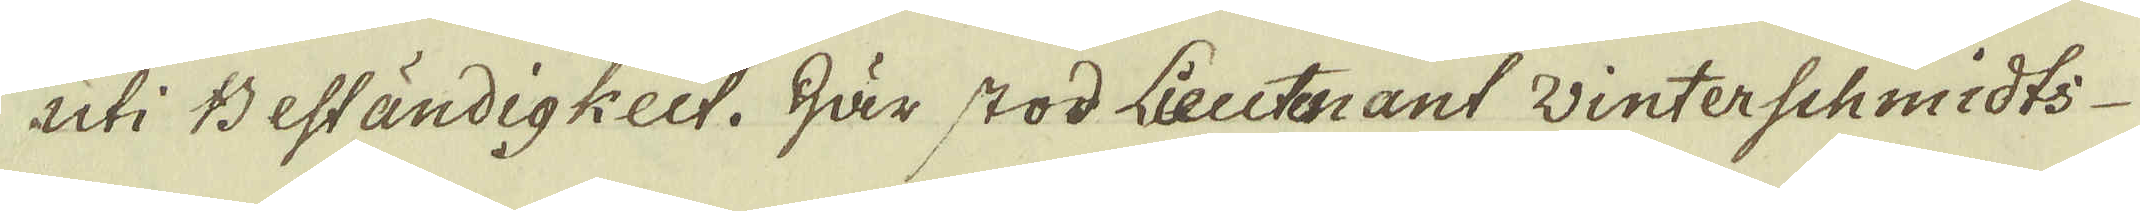uti Beständigkeit. Här stod Lieutenant Winterschmidts
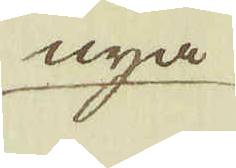nya
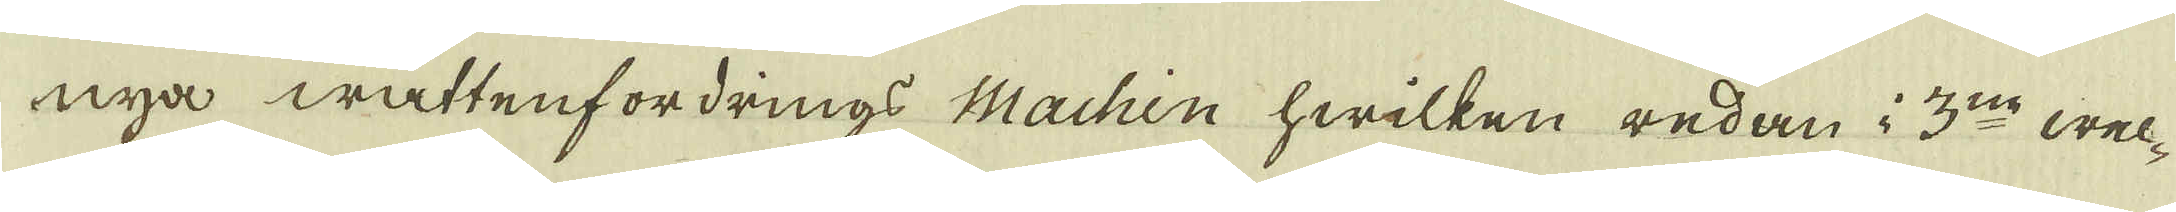nya wattenfordrings Machin hwilken redan i 3:ne wec-
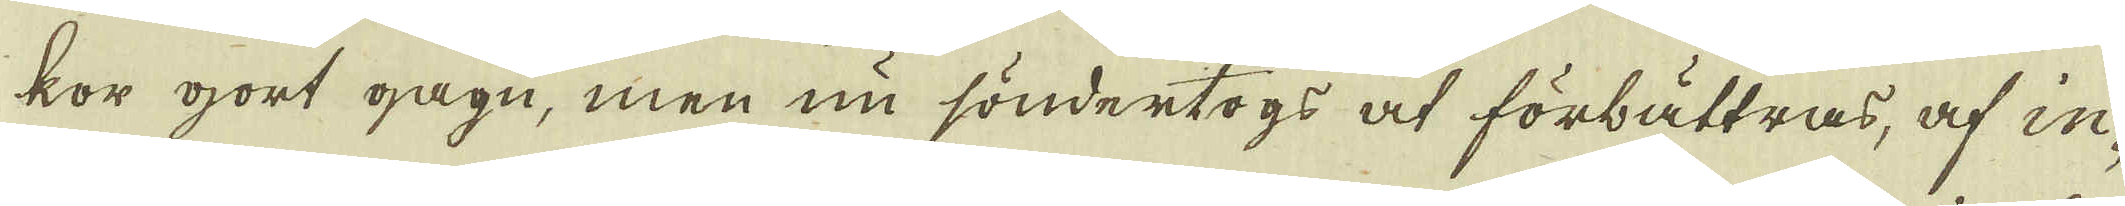kor gort gagn, men nu söndertogs at förbättras, af in-
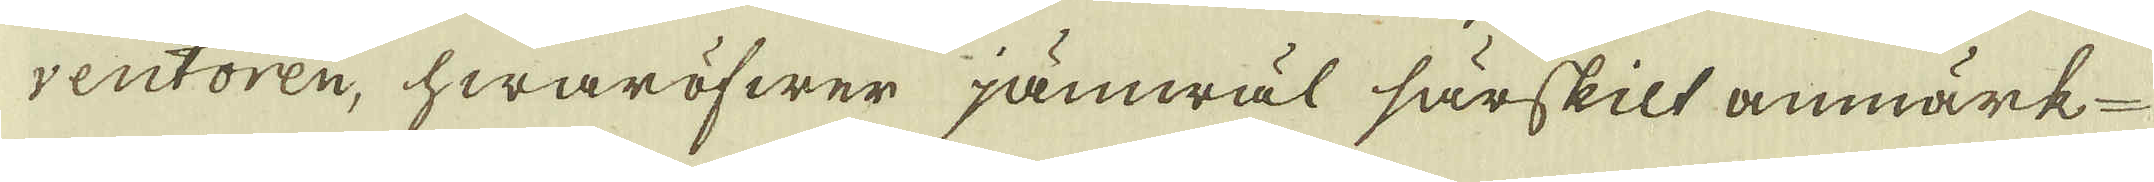ventoren, hwaröfwer jämwäl särskilt anmärk-
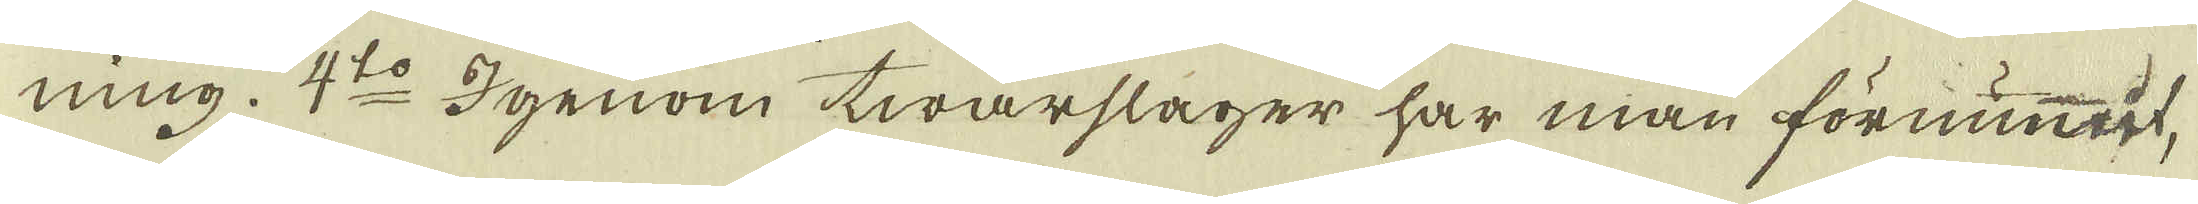ning. 4:to Igenom twärslager har man förnummit,
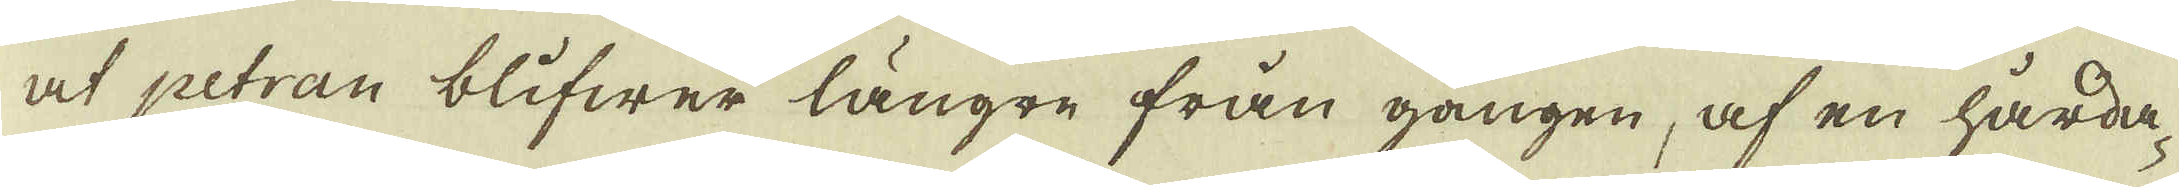at petran blifwer längre från gången, af en hårda-
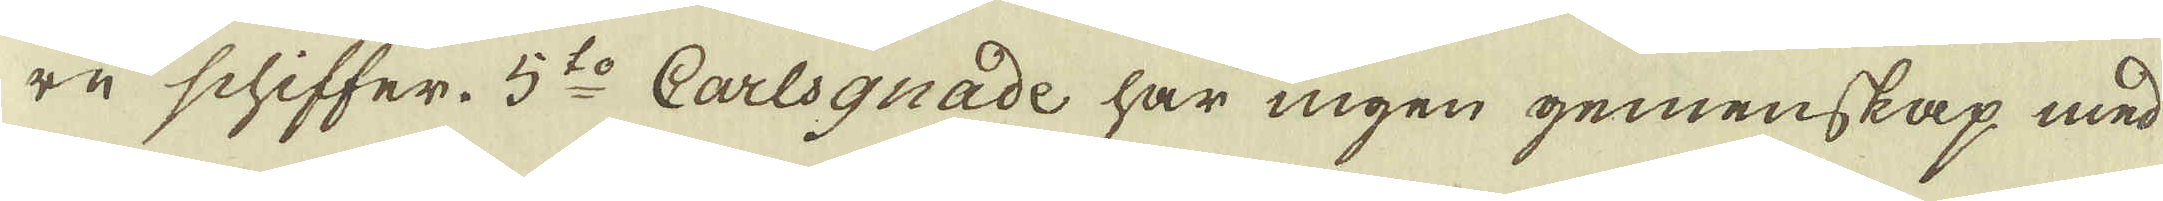re schiffer. 5:to Carlsgnade har ingen gemenskap med
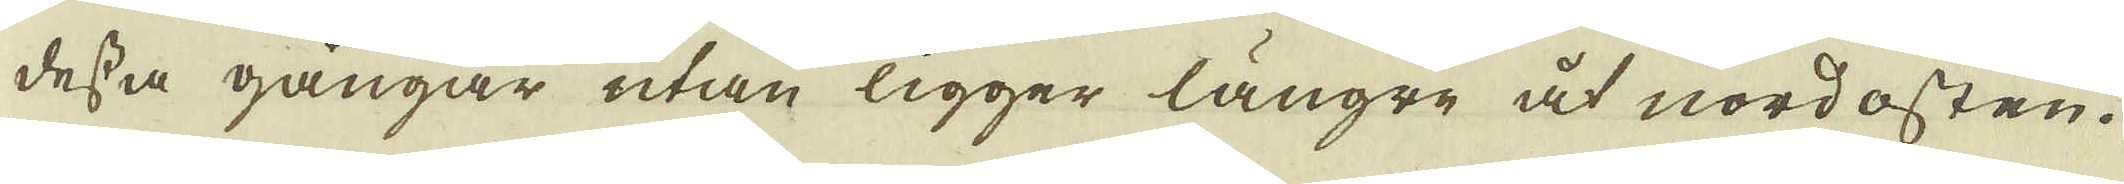dessa gångar utan ligger längre åt nordosten.
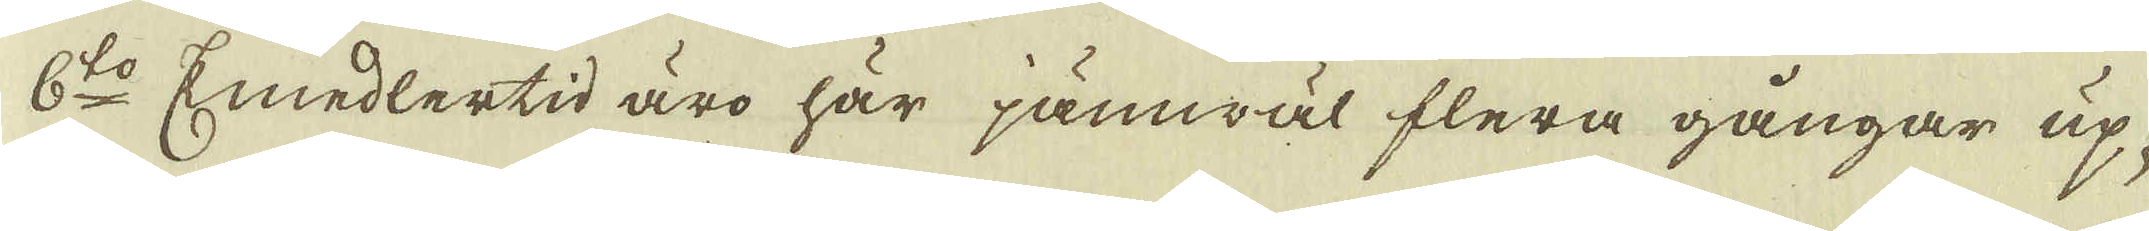6:to Emedlertid äro här jämwäl flera gångar up-
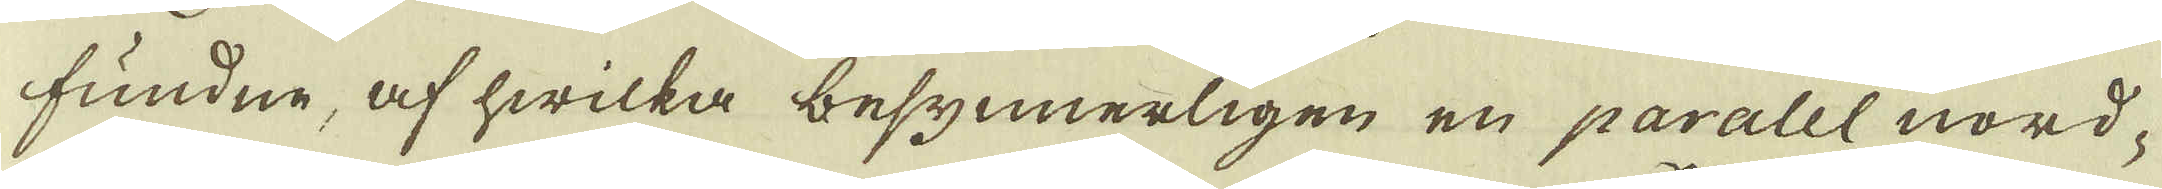fundne, af hwilka besynnerligen en paralel nord-
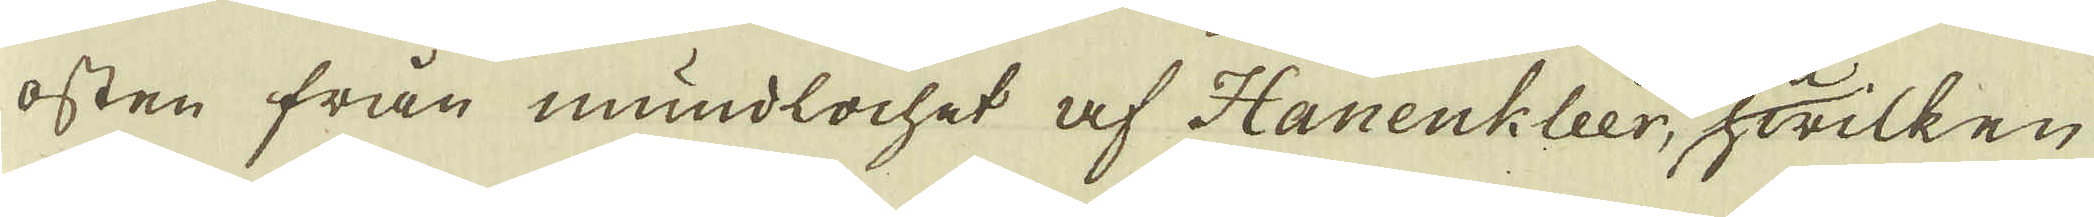osten från mundlochet af Hanenkleer, hwilken
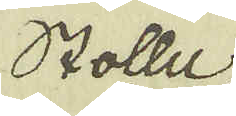Stolle
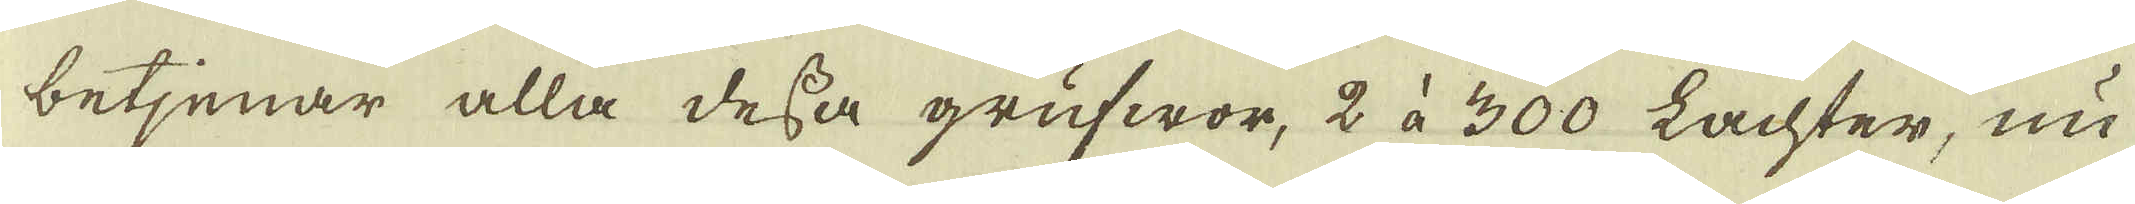betjenar alla dessa grufwor, 2 à 300 Lachter, nu
